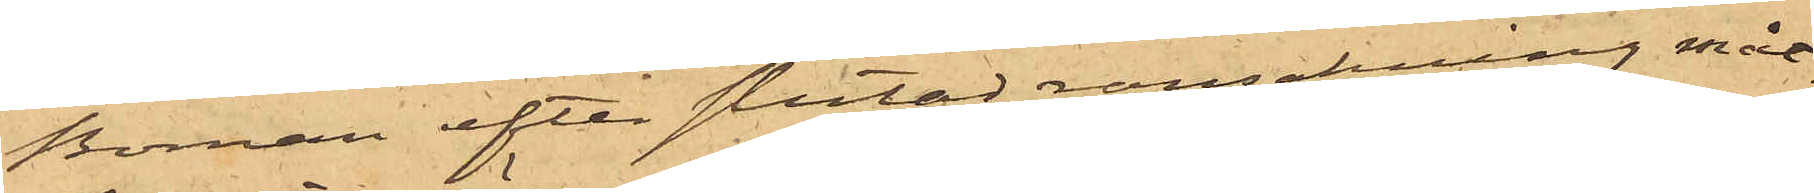Boman efter slutad ransakning måt¬
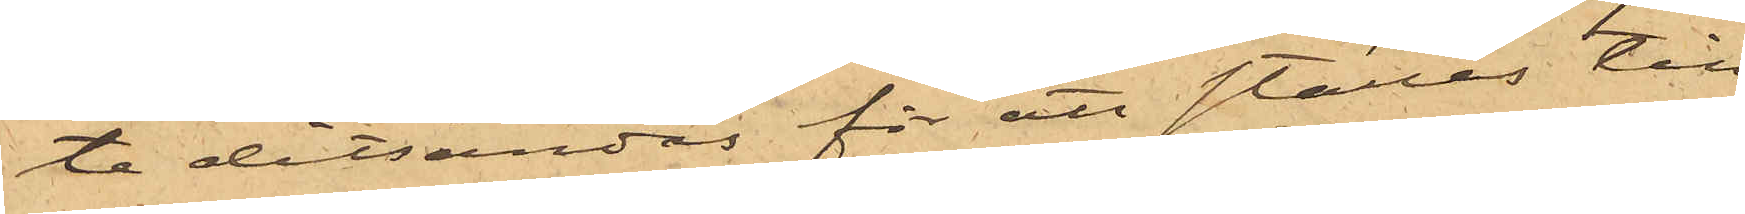te ditsändas för att ställas till
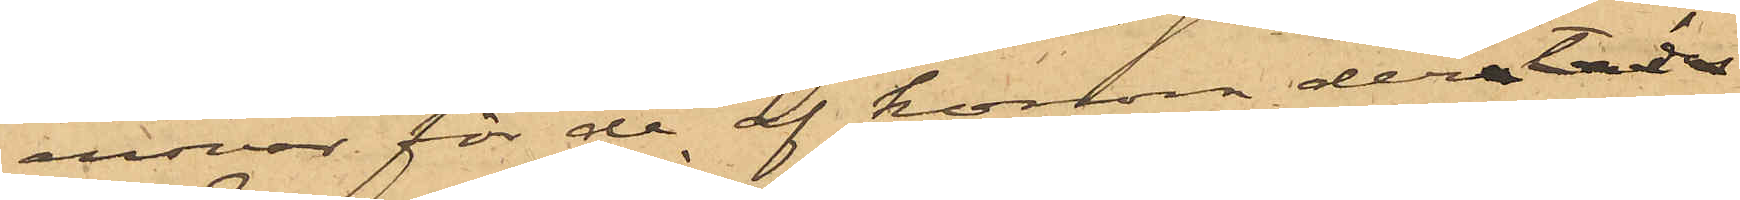ansvar för de af honom derstädes
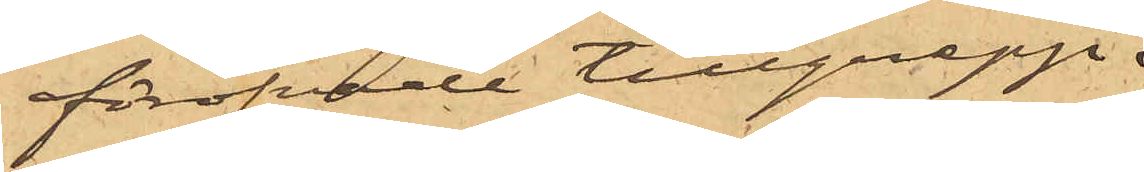föröfvade tillgrepp.
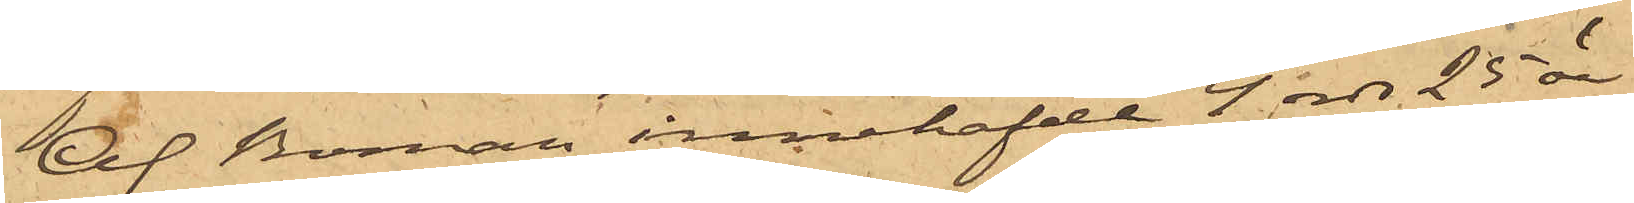Af Boman innehafde 4 rdr 25 öre
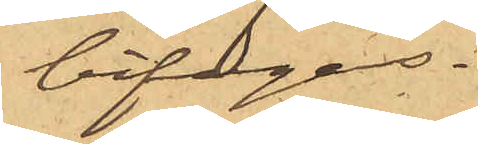bifogas.
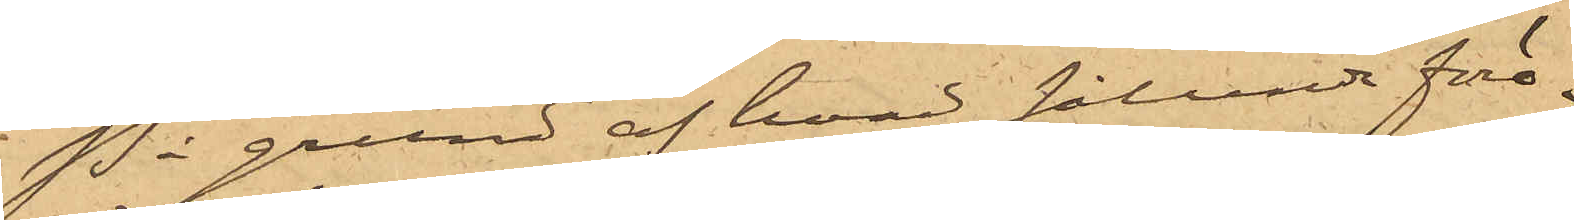På grund af hvad sålunda före¬
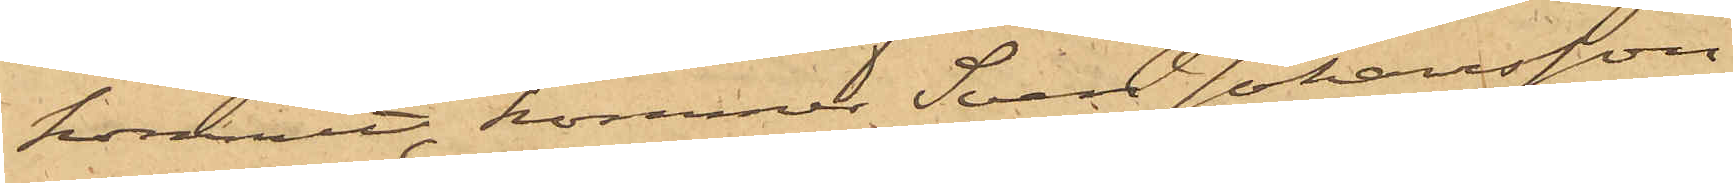kommit, kommer Sven Johansson
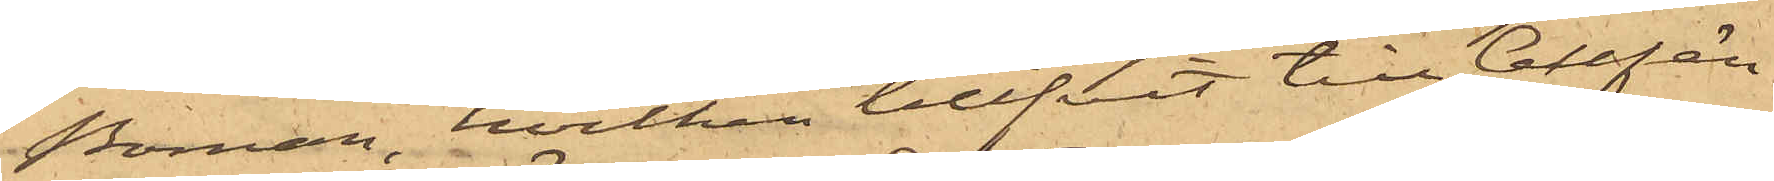Boman, hvilken blifvit till Cellfän¬
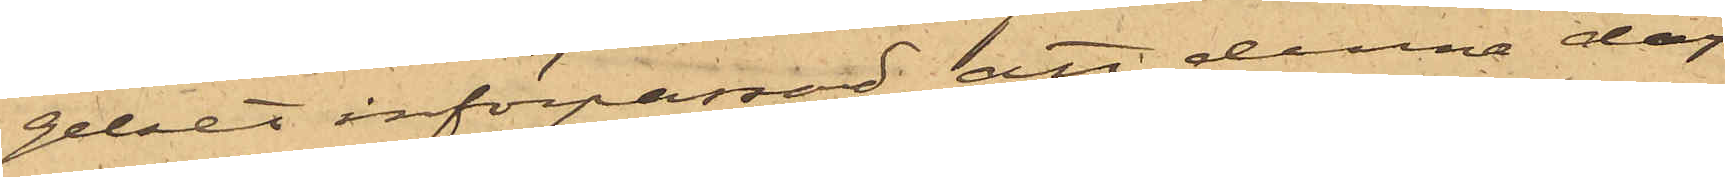gelset införpassad, att denna dag
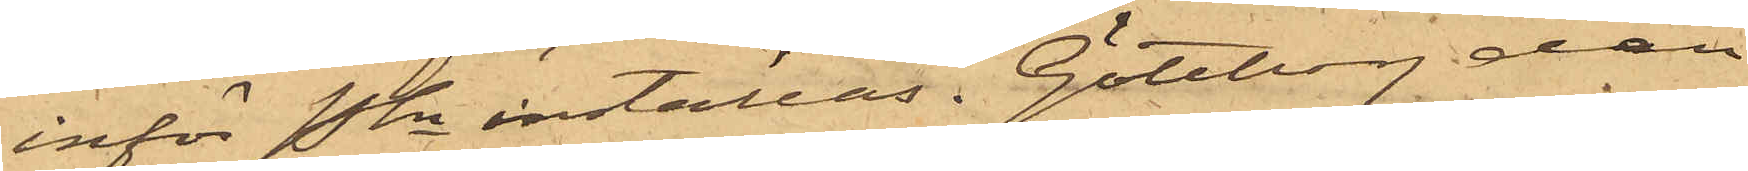inför Pkn inställas. Göteborg den
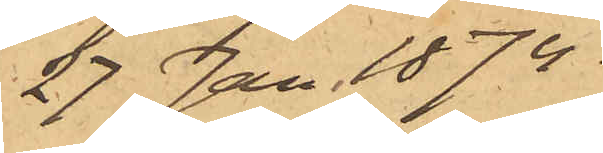27 Jan 1874.
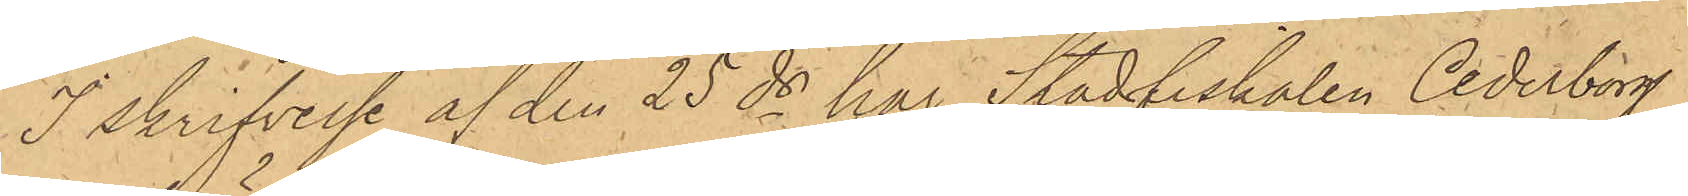I skrifvelse af den 25 ds har Stadfiskalen Cederborg,
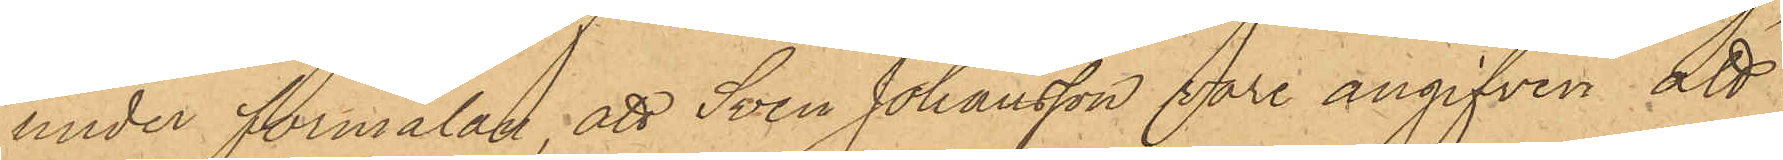under förmälan, att Sven Johansson vore angifven att
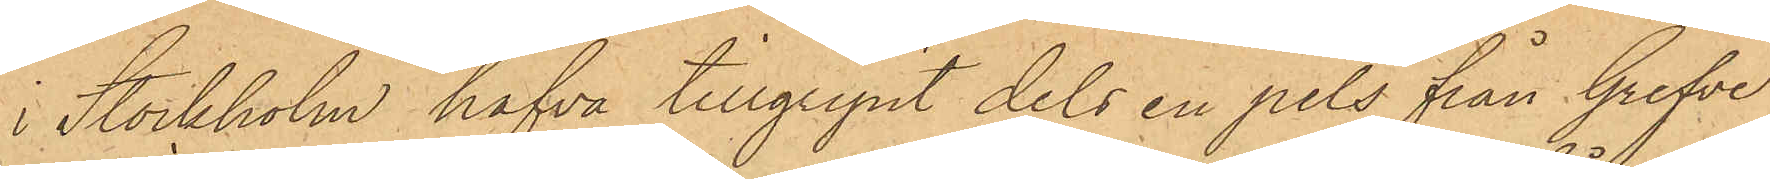i Stockholm hafva tillgripit dels en pels från Grefve
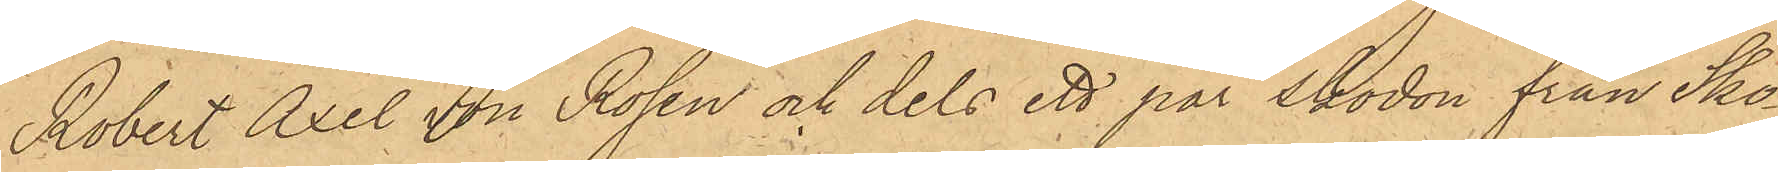Robert Axel von Rosen och dels ett par skodon från Sko¬
